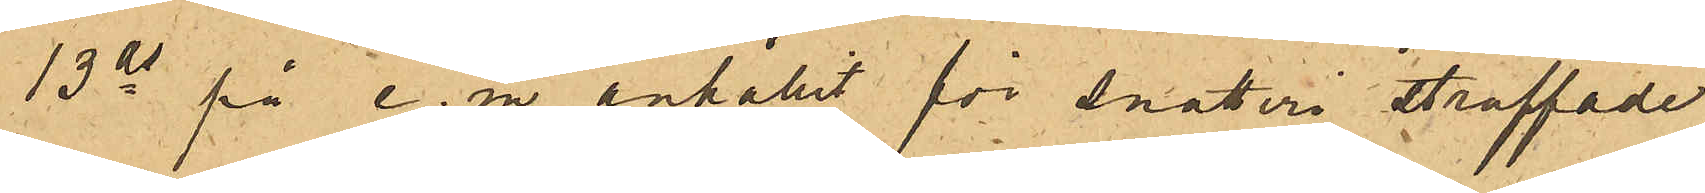13ds på e. m. anhållit för snatteri straffade
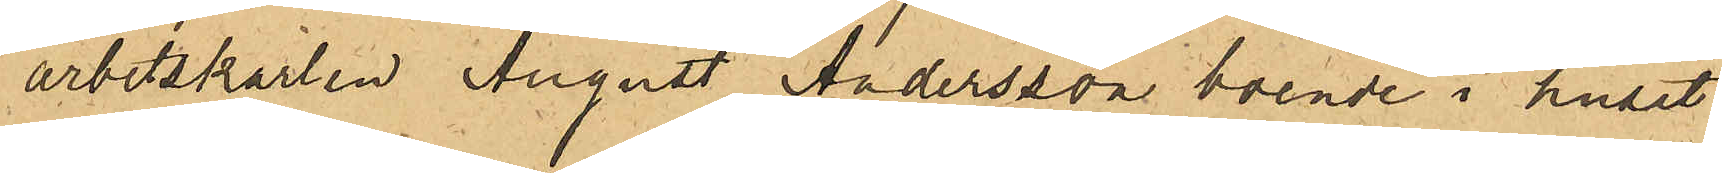arbetskarlen August Andersson boende i huset
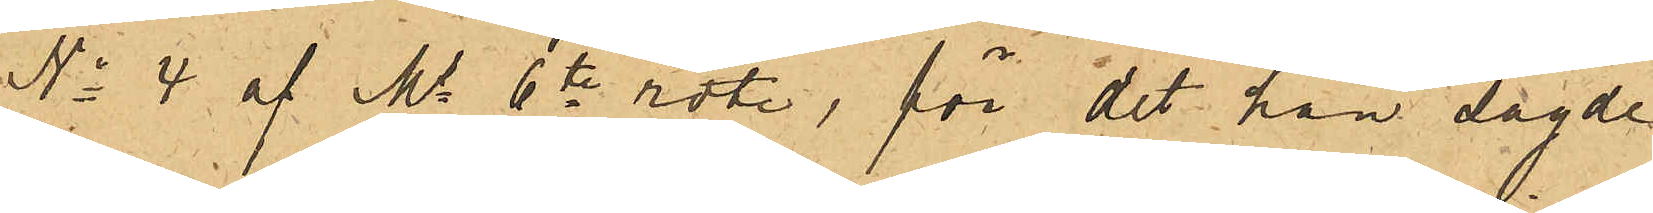No 4 af Ms 6te rote, för det han sagde
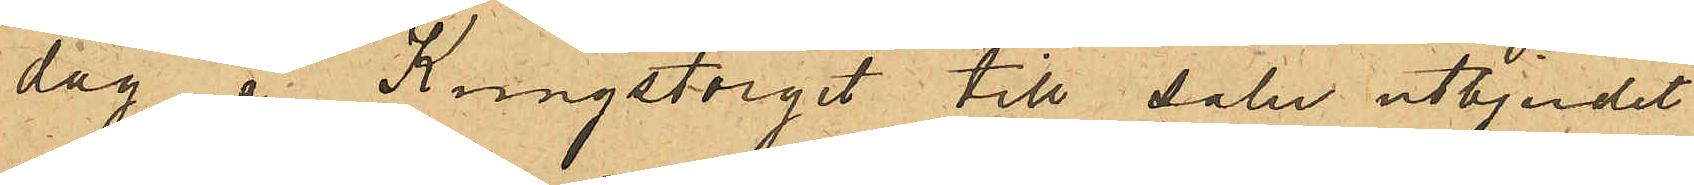dag å Kungstorget till salu utbjudet
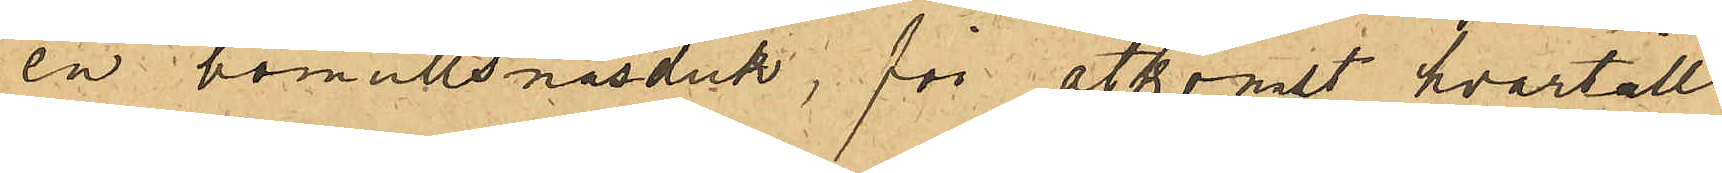en bomullsnäsduk, för åtkomst hvartill
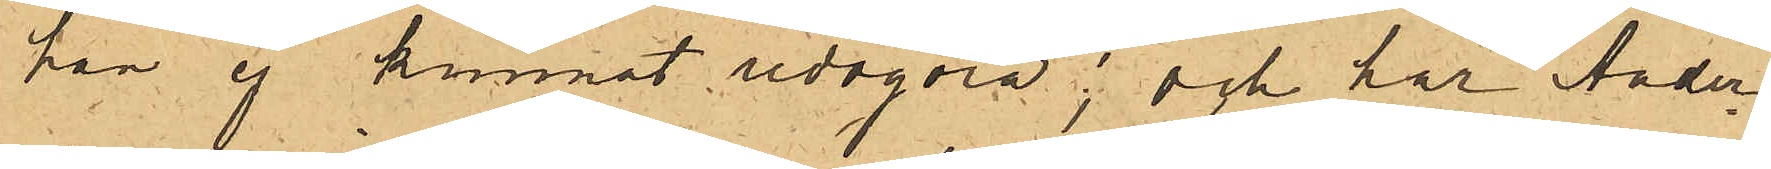han ej kunnat redogöra; och har Ander¬
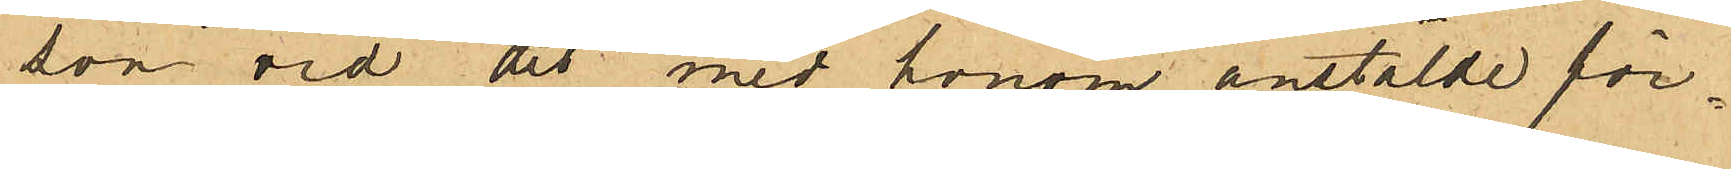son vid det med honom anstälde för¬
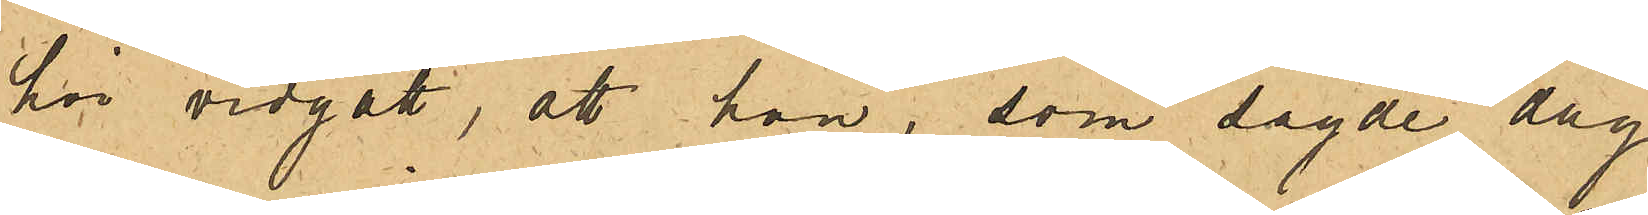hör vidgått, att han, som sagde dag
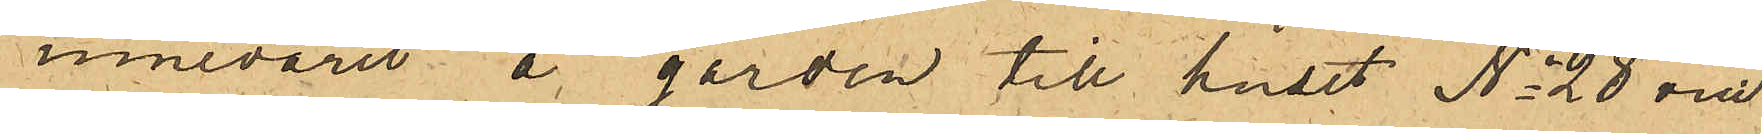innevarit å gården till huset No 28 vid
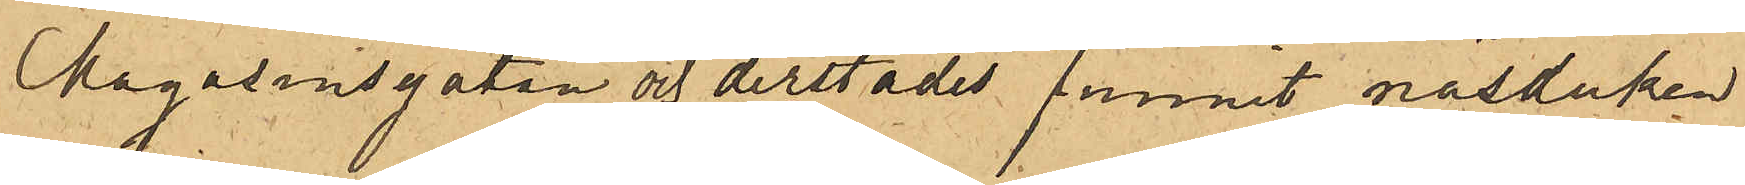Magasinsgatan och derstädes funnit näsduken
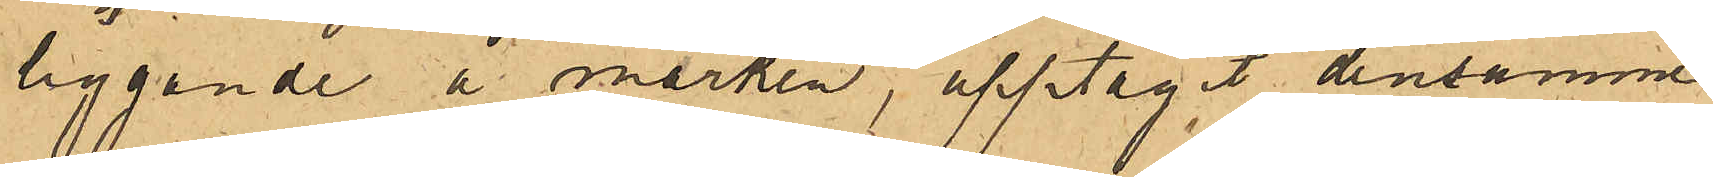liggande å marken, upptagit densamme
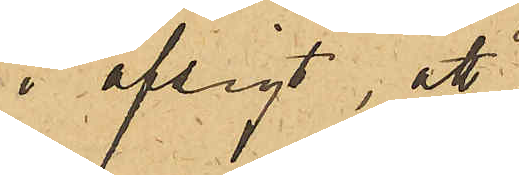i afsigt, att
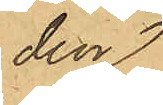den 
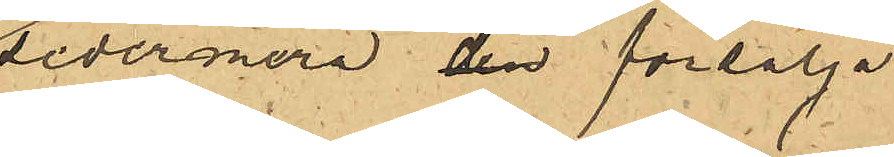sedermera den försälja.
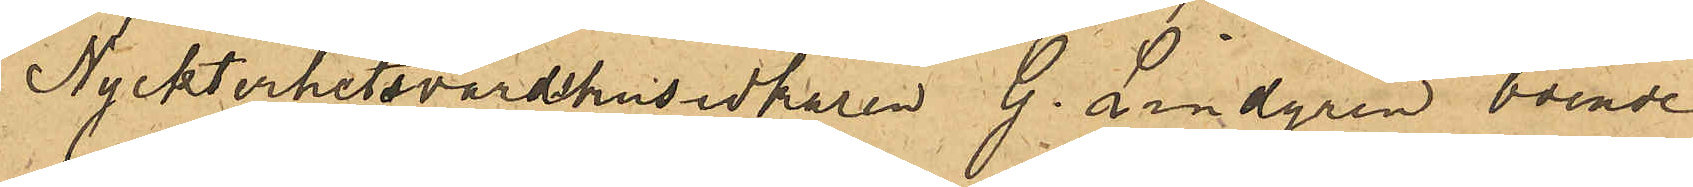Nyckterhetsvärdshusidkaren G. Lindgren boende
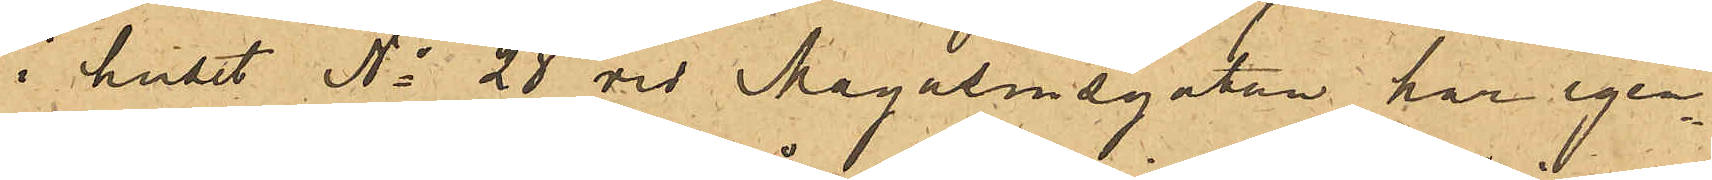i huset No 28 vid Magasinsgatan har igen¬
